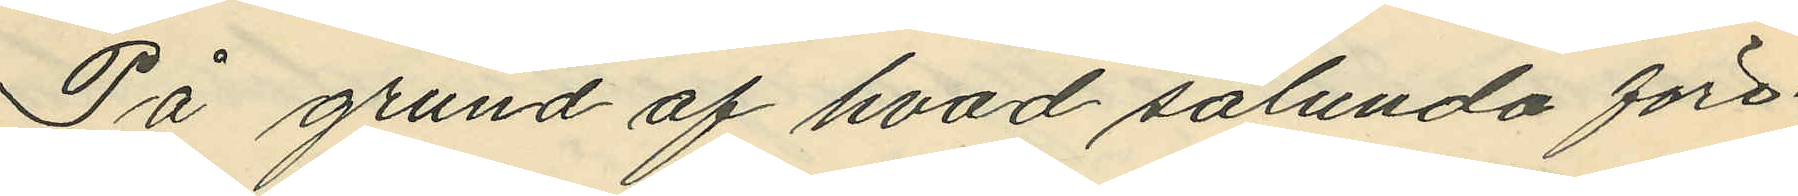På grund af hvad sålunda före¬
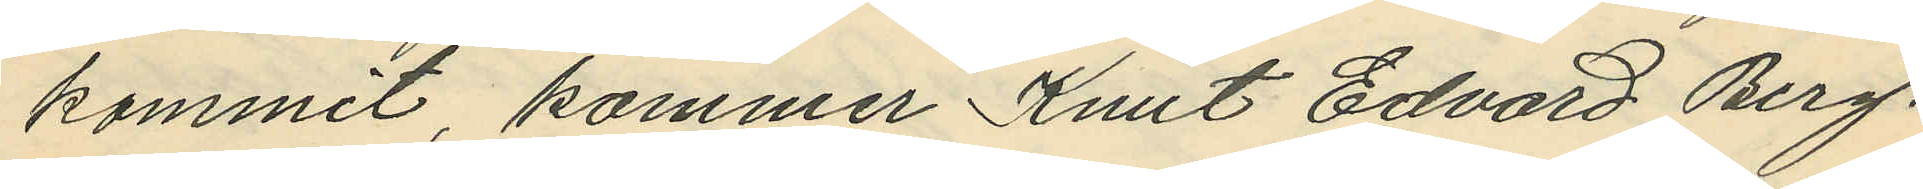kommit, kommer Knut Edvard Berg¬
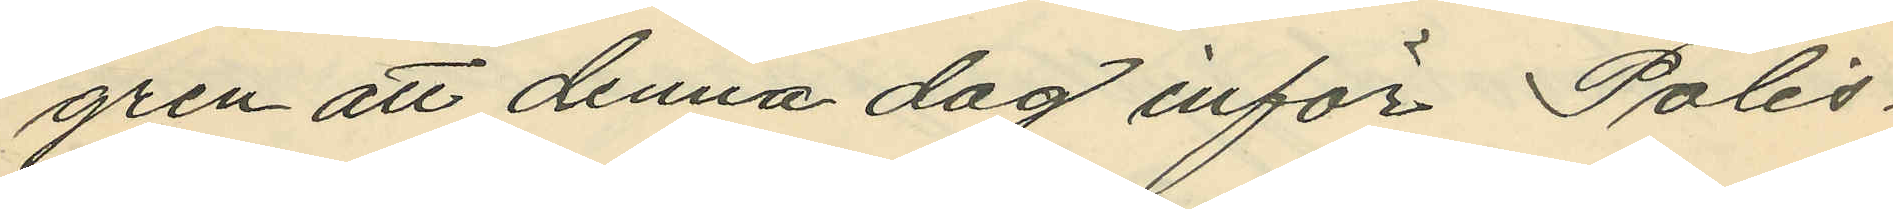gren att denna dag inför Polis¬
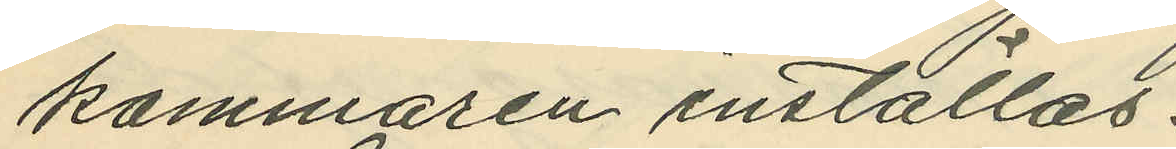kammaren inställas.
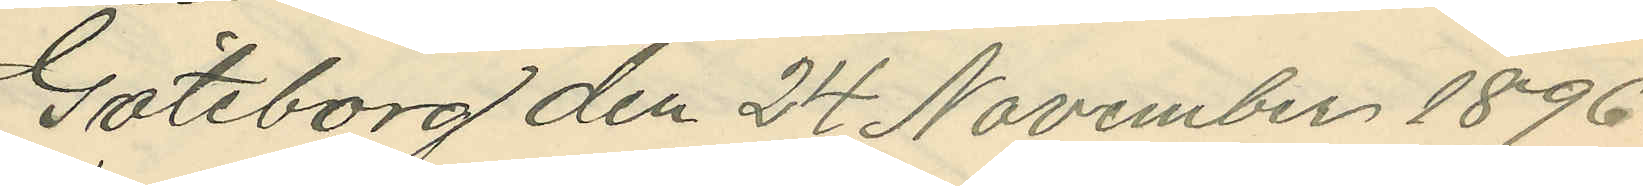Göteborg den 24 November 1896.
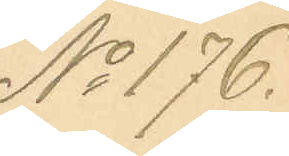No 176.
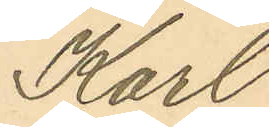Karl
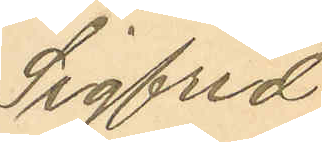Sigfrid
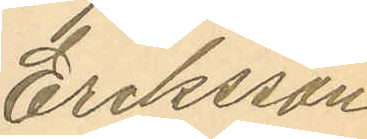Eriksson
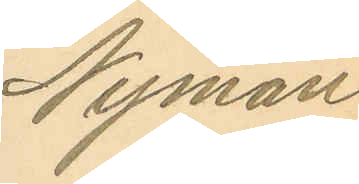Nyman
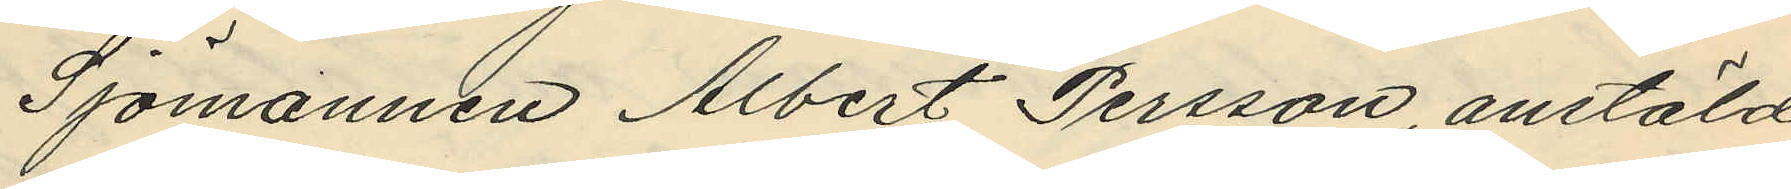Sjömannen Albert Persson, anstäld
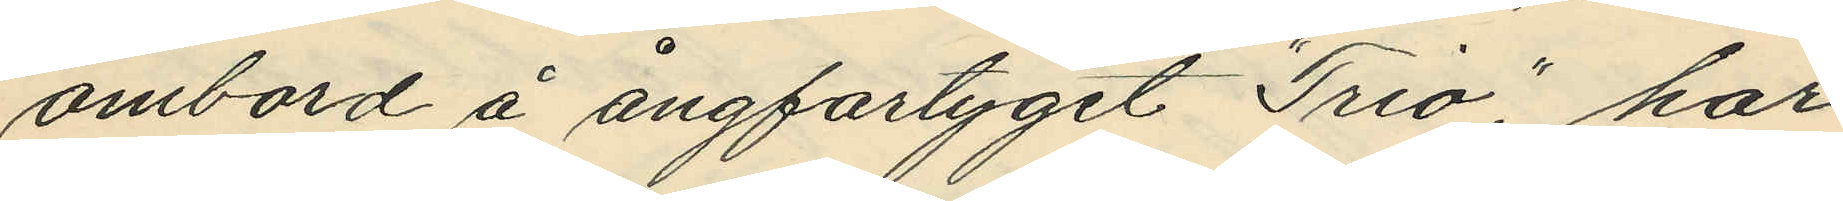ombord å ångfartyget "Trio", har
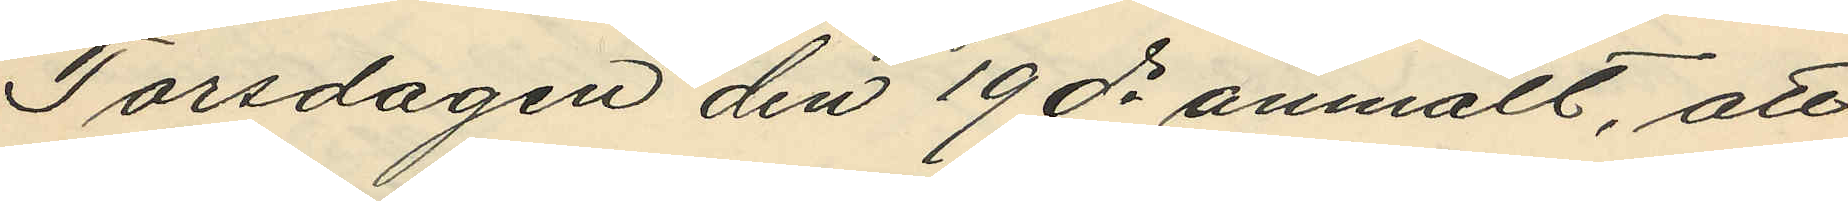Torsdagen den 19 ds anmält, att
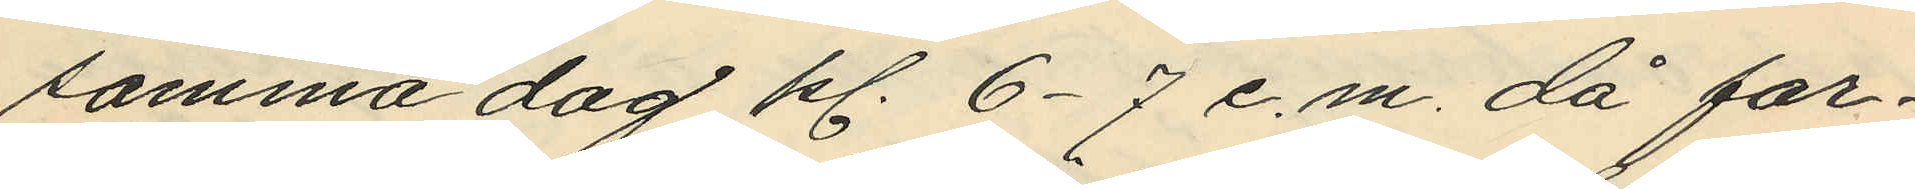samma dag kl. 6-7 e.m. då far¬
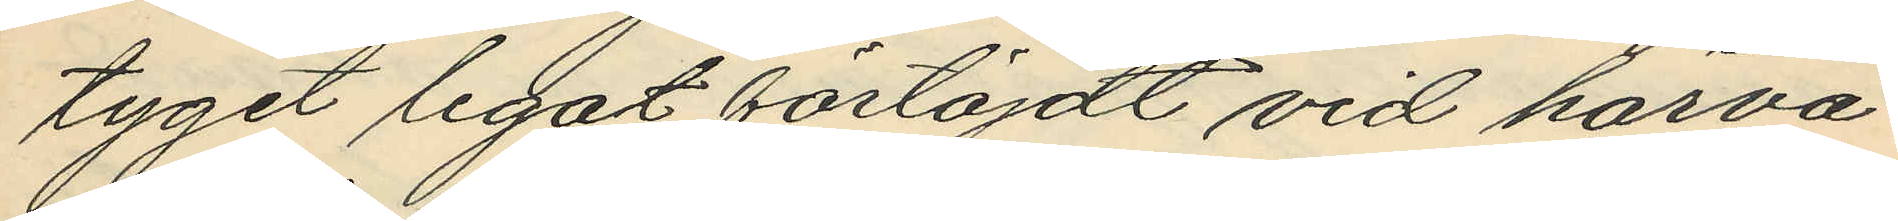tyget legat förtöjdt vid härva¬
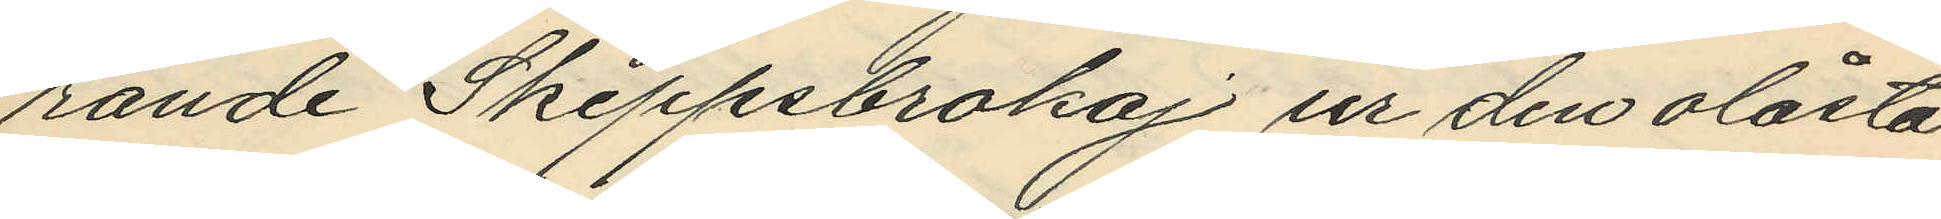rande Skeppsbrokaj ur den olåsta
